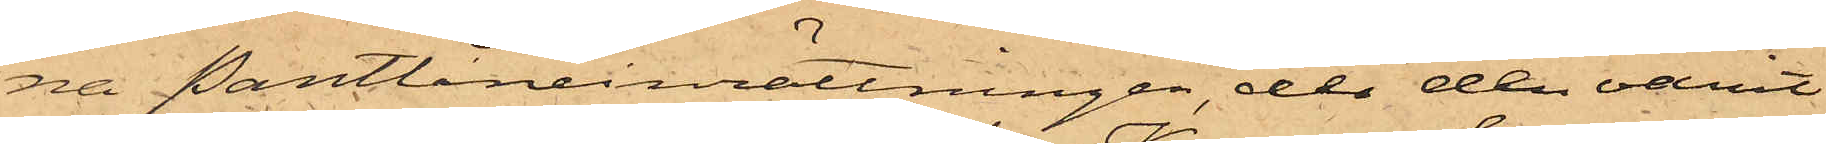na Pantlåneinrättningen, der den varit
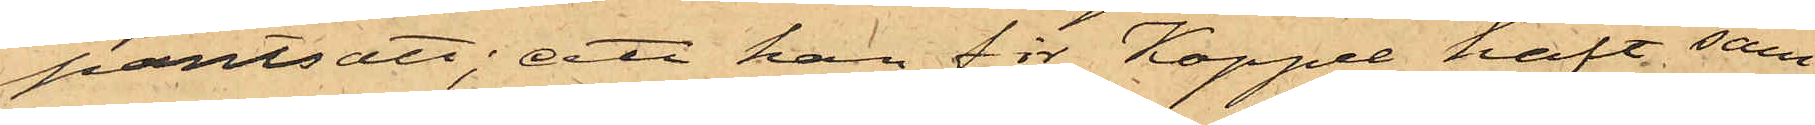pantsatt; att han för Koppel haft sam¬
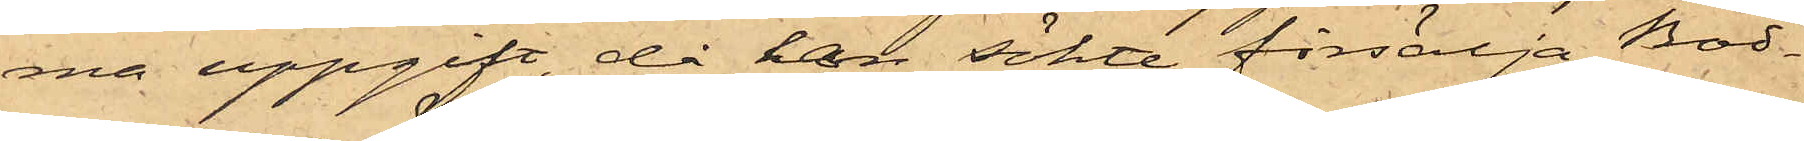ma uppgift, då han sökte försälja Bod¬
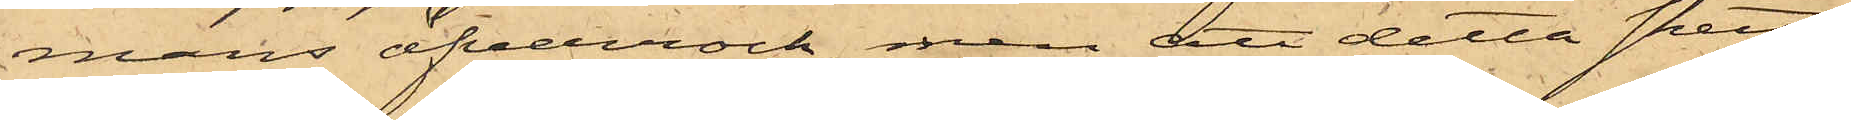mans öfverrock, men att detta skett
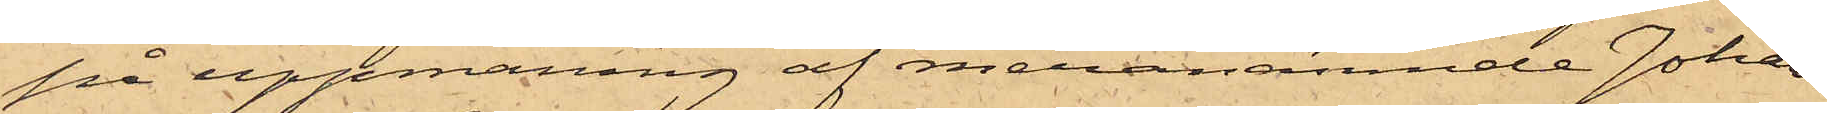på uppmaning af meranämnde Johans¬
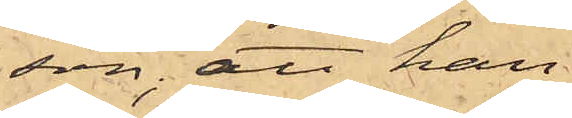son; att han
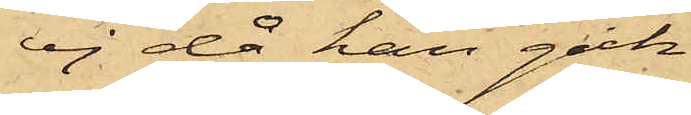ej då han gick
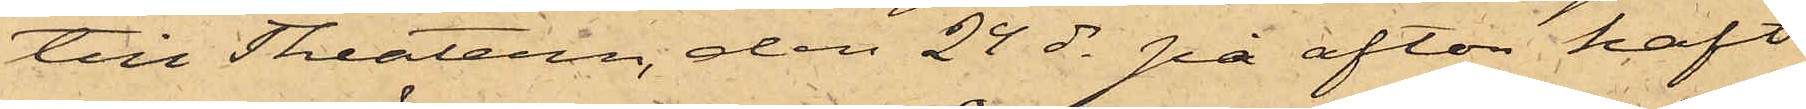till Theatern, den 24 ds på afton haft
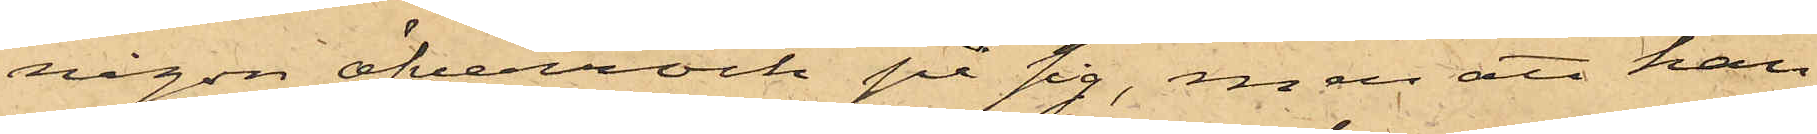någon öfverrock på sig, men att han
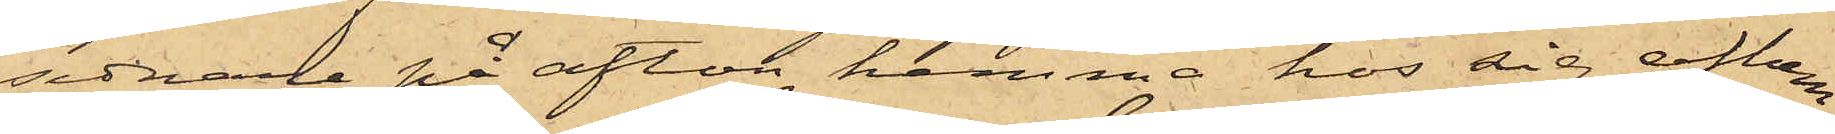sednare på afton hemma hos sig afhem¬
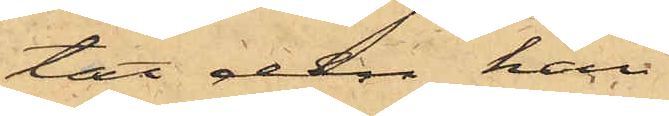tat den han
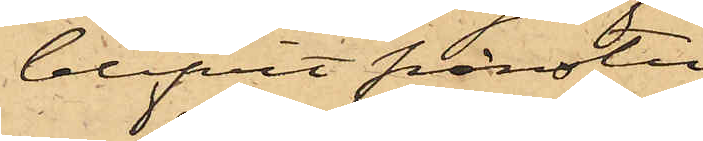blifvit frånstu¬
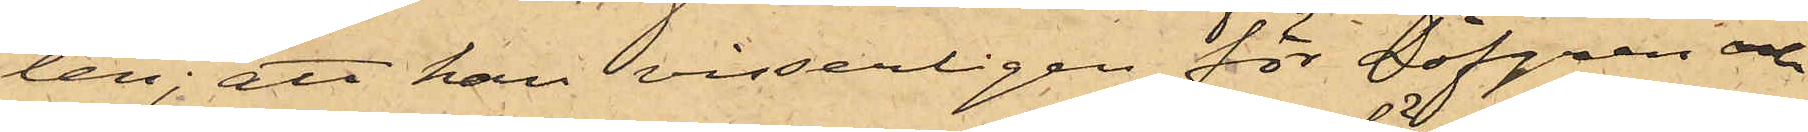len; att han visserligen för Löfgren och
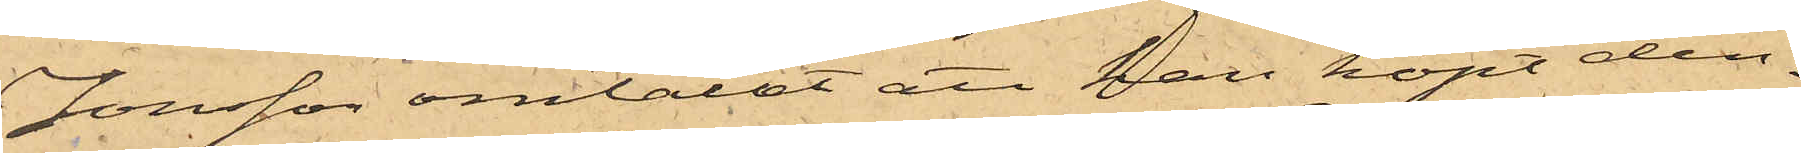Jonsson omtalat att han köpt den¬
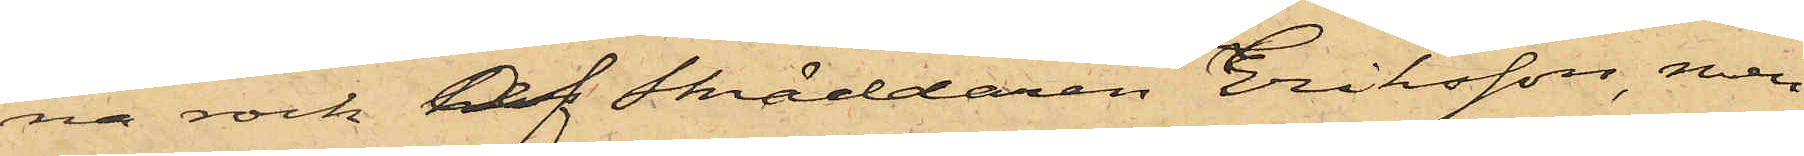na rock af Skräddaren Eriksson, men
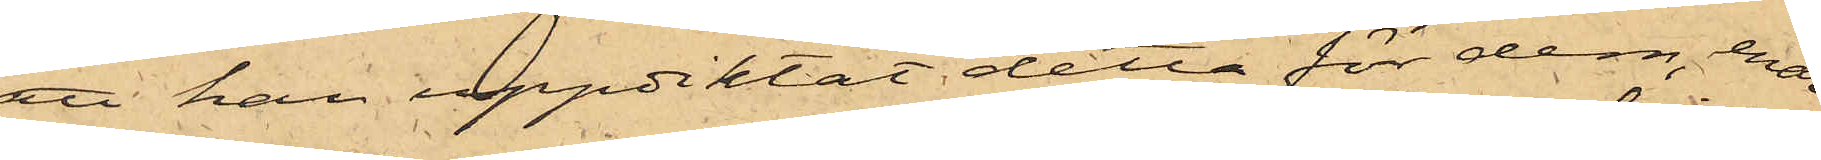att han uppdiktat detta för dem, enär
